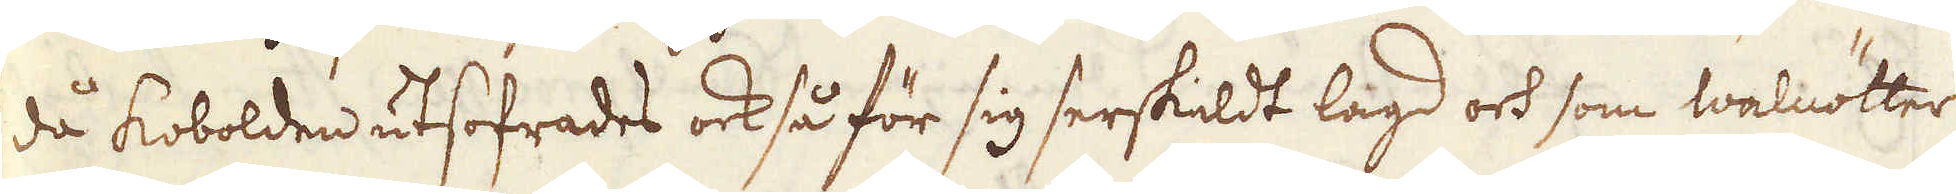då kobolden utsofrades ock så för sig serskildt lagd och som walnötter
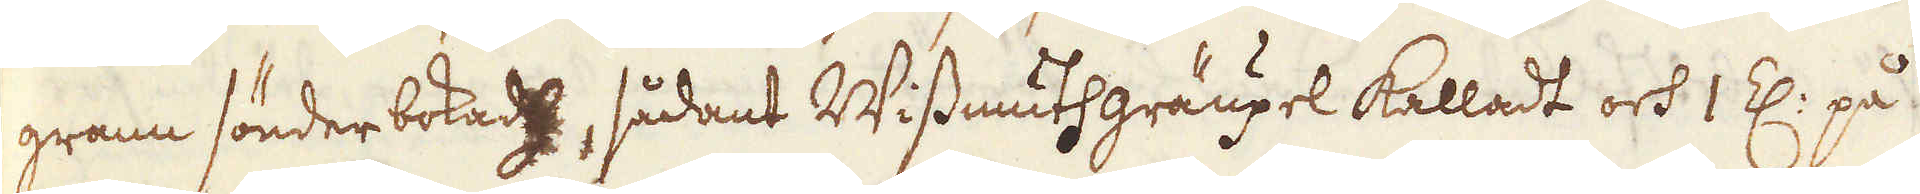grann sönder bokad, sådant Wissmuthgräupel kalladt och 1 Z: på
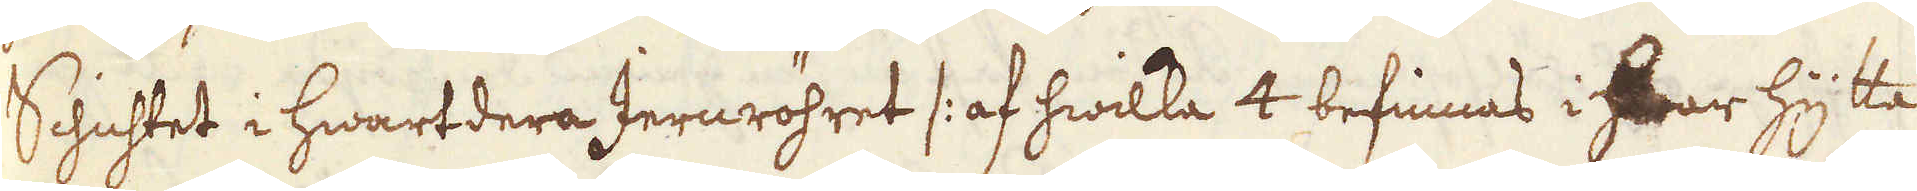Schichtet i hwartdera Jernröhret /: af hwilka 4 befinnas i hwar hytta
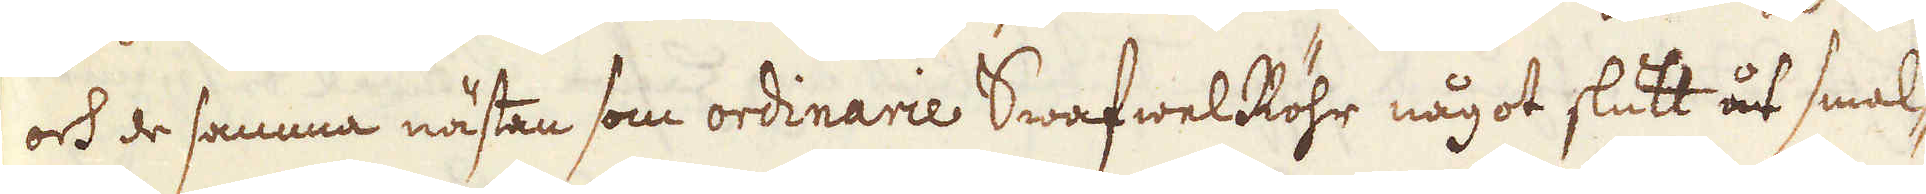och de samma nästan som ordinarie Swafwel Röhr något slutt åt smal-
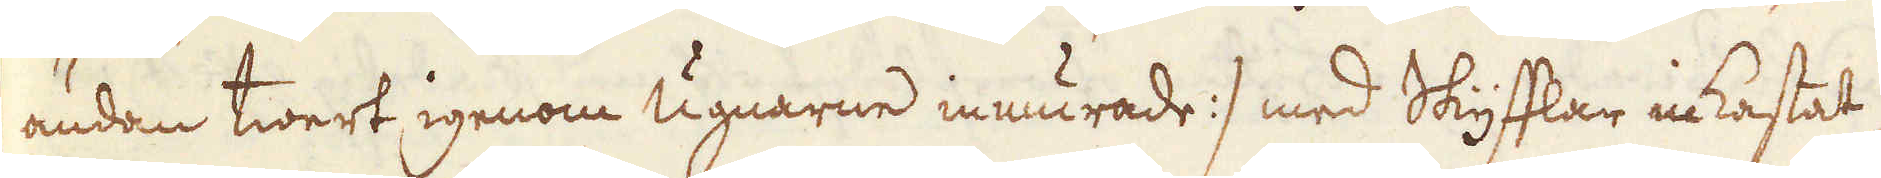ändan twert igenom Ugnarne inmurade :/ med Skyfflar inkastat,
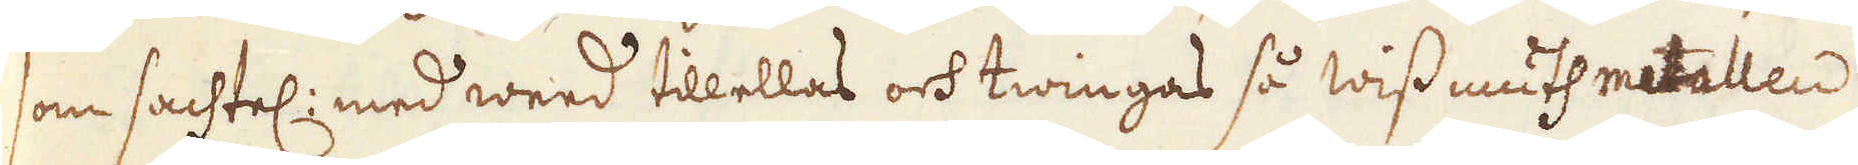som sachtel: med weed tillellas och twingas så wissmuth metallen
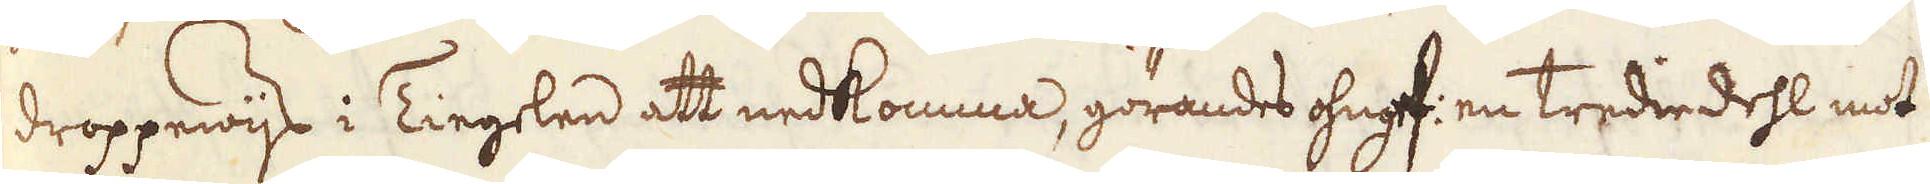droppewijs i Tiegelen att nedkomma, görandes ohngef: en Trediedehl mot
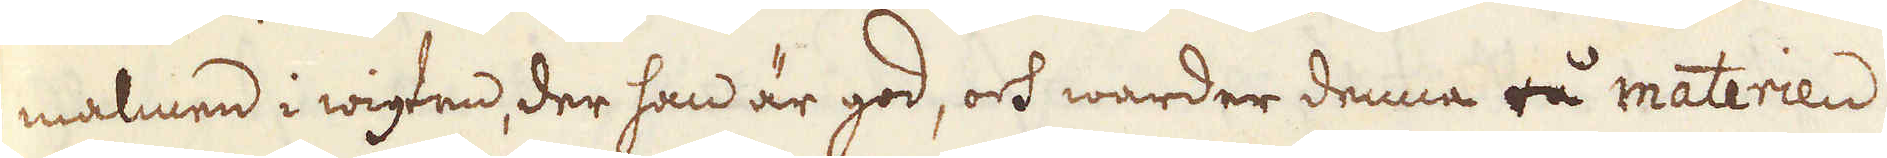malmen i wigten, der han är god, och warder denna rå materien
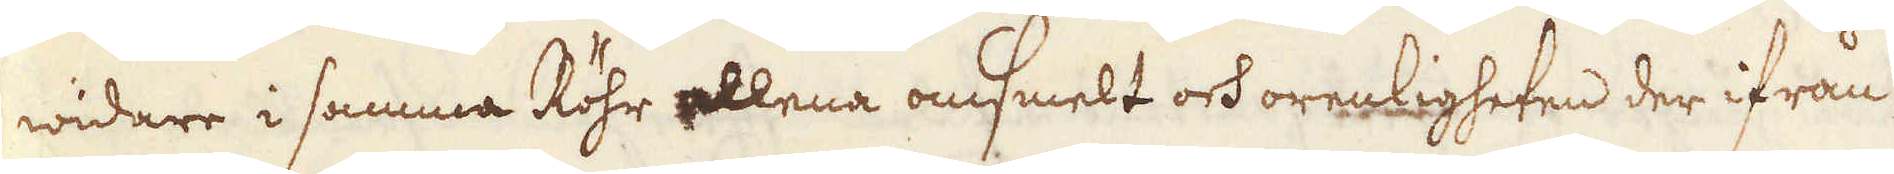widare i samma Röhr allena omsmelt och orenligheten der ifrån
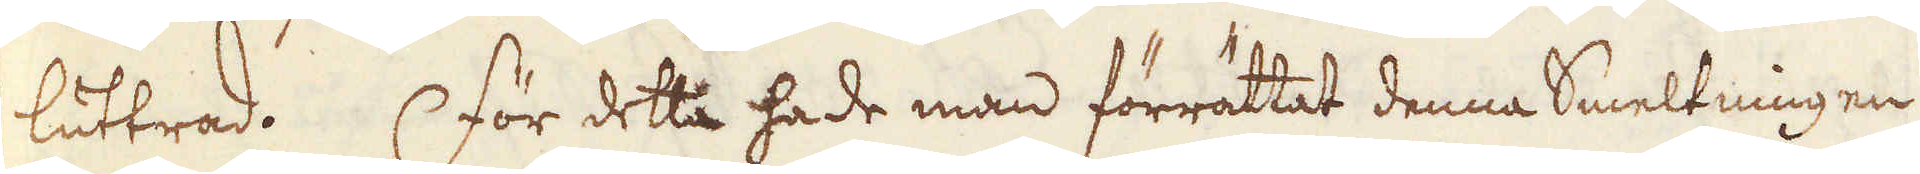luttrad. För detta hade man förrättat denna Smeltningen
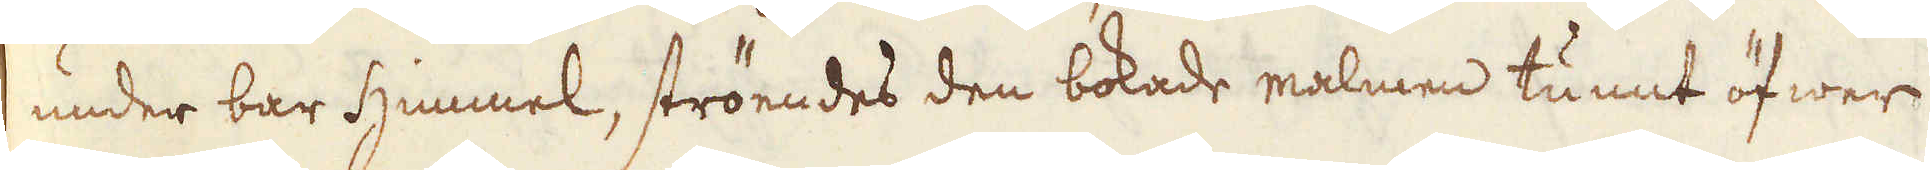under bar himmel, ströendes den bokade malmen tunnt öfwer
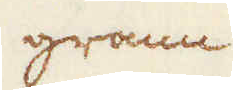grann
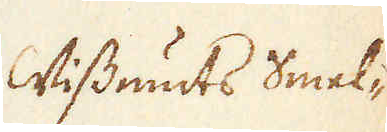Wissmuts Smel-
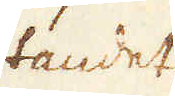tandet
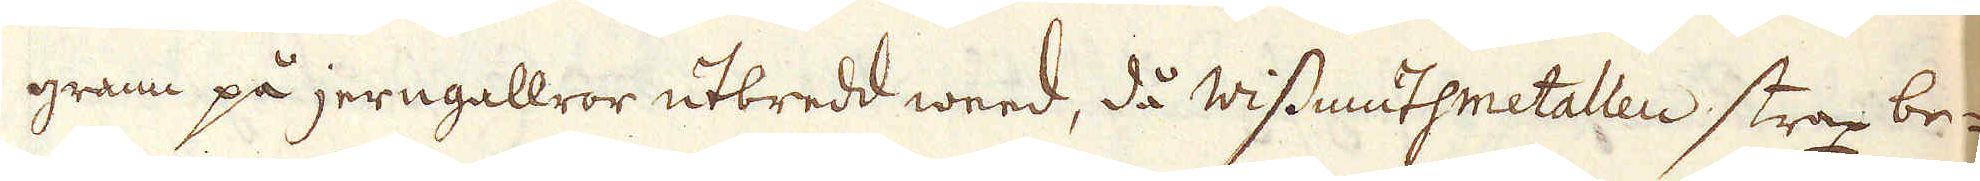grann på jerngallror utbredd weed, då wissmuthmetallen strax be-
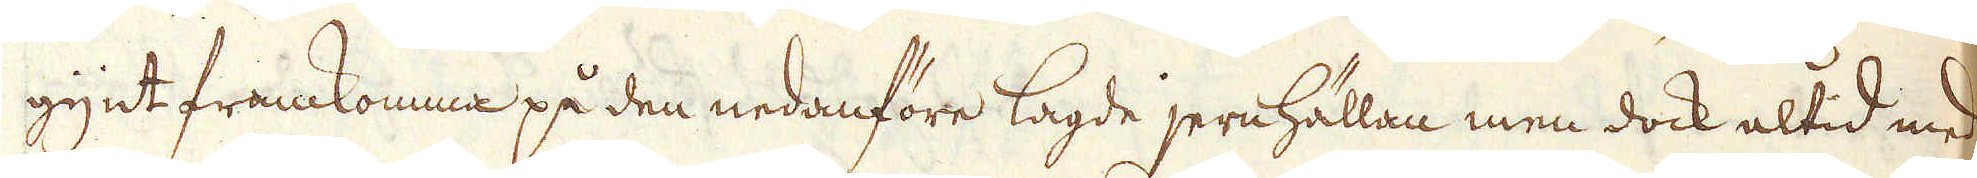gynt framkomma på den nedanföre lagde jernhällan men dock altid med
